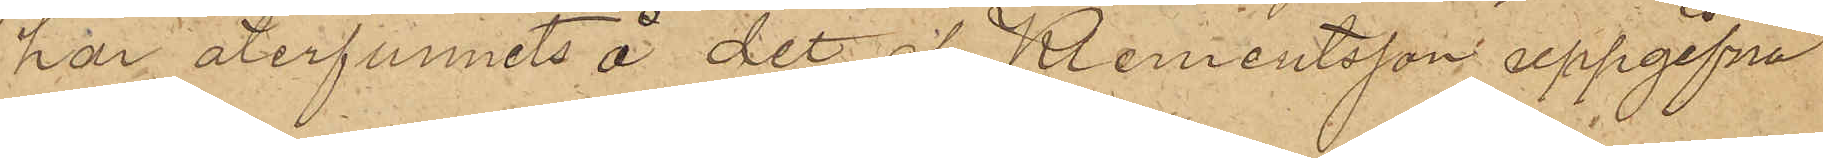har återfunnits å det af Klementsson uppgifna
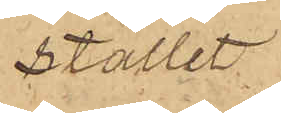stället.
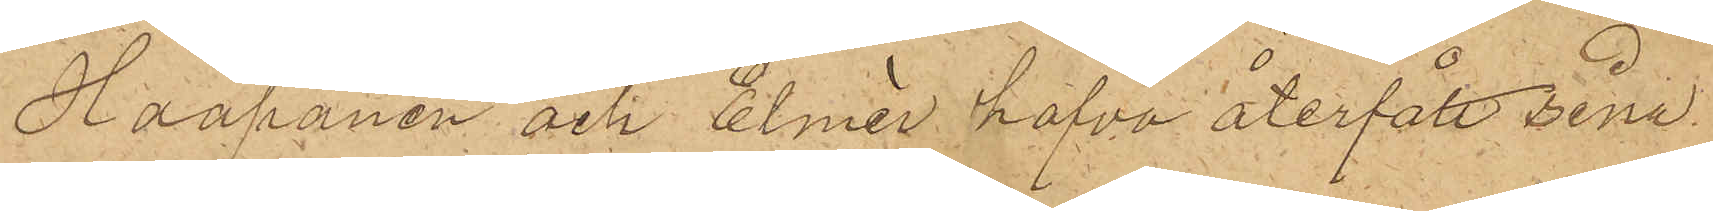Haapanen och Elmér hafva återfått sina
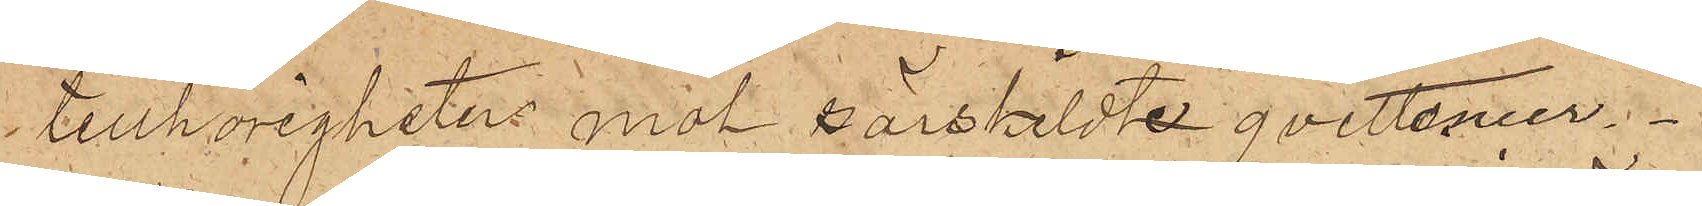tillhörigheten mot särskildte qvittenser.
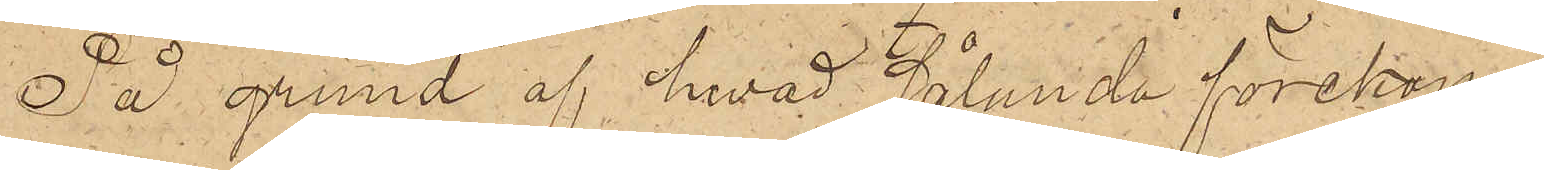På grund af hvad sålunda förekom¬
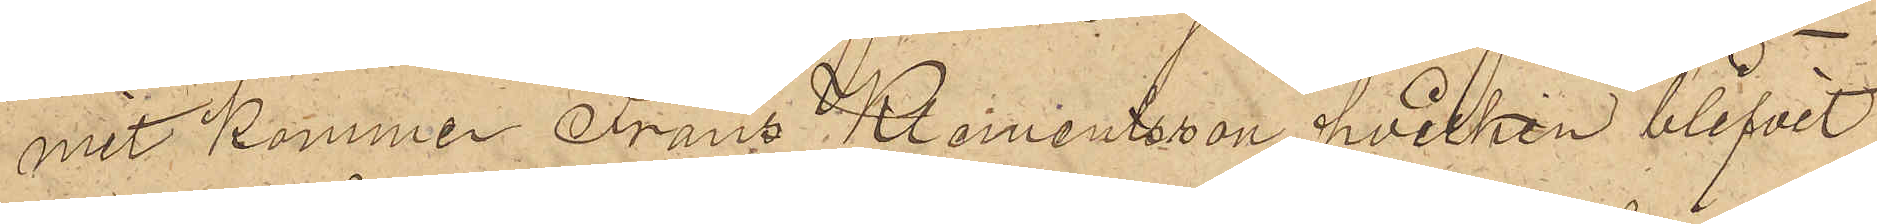mit kommer Frans Klementsson, hvilken blifvit
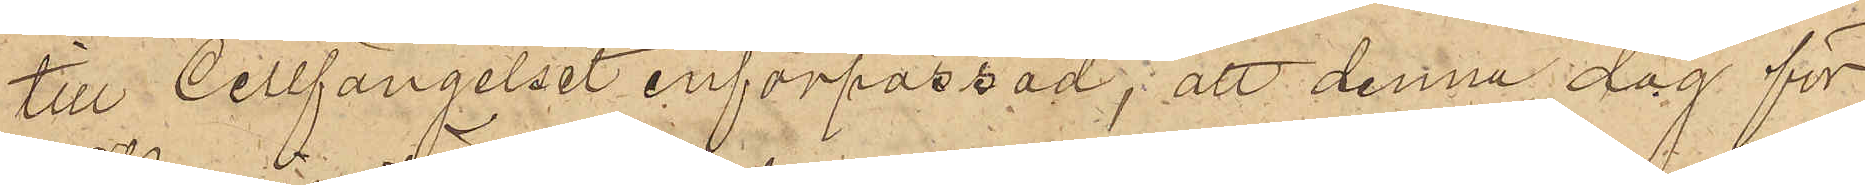till Cellfängelset införpassad, att denna dag för
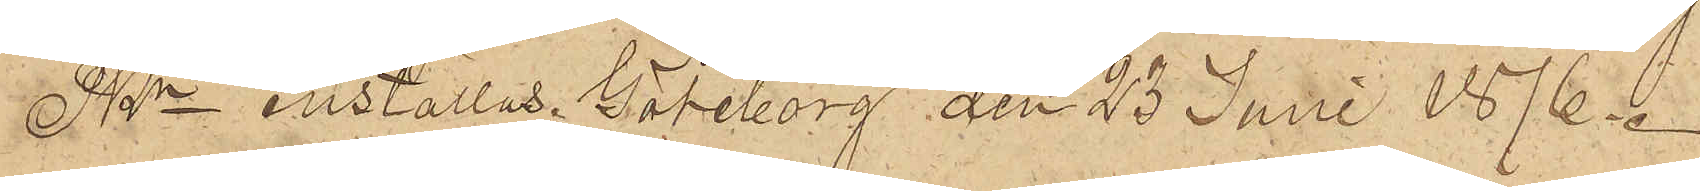PKn inställas. Göteborg den 23 Juni 1876.
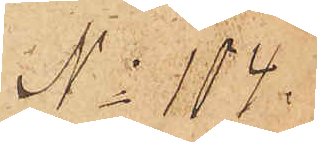No 104.
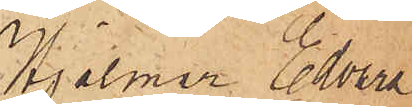Hjalmar Edvard
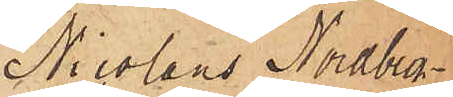Nicolaus Nordbeck
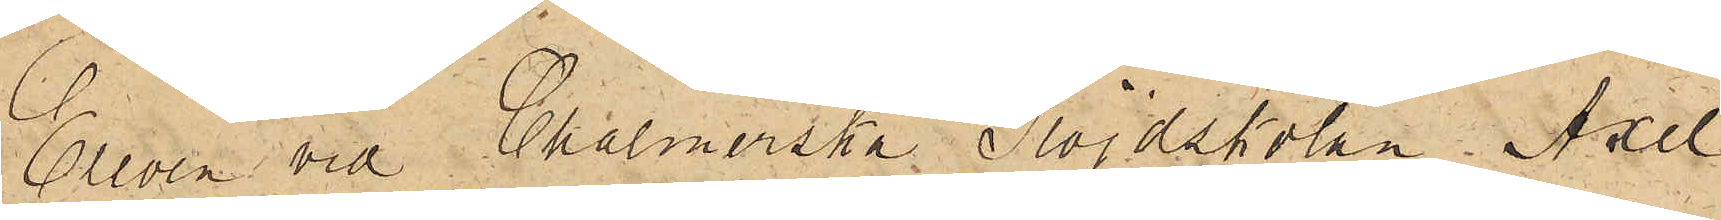Eleven vid Chalmerska Slöjdskolan Axel
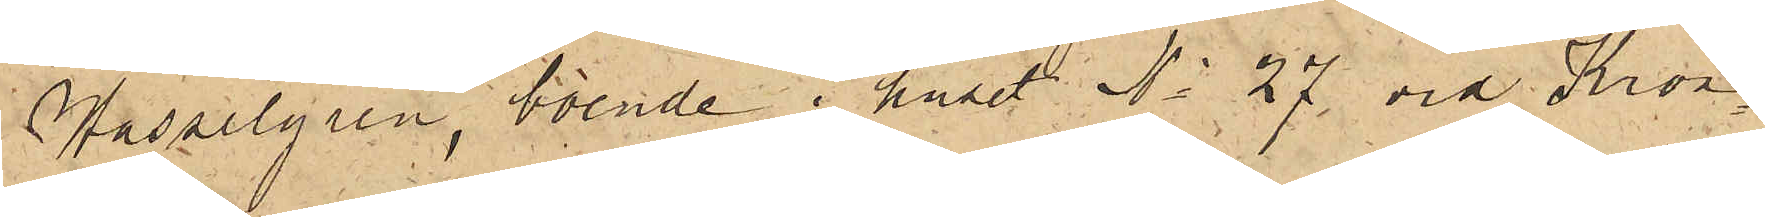Hasselgren, boende i huset No 27 vid Kron¬
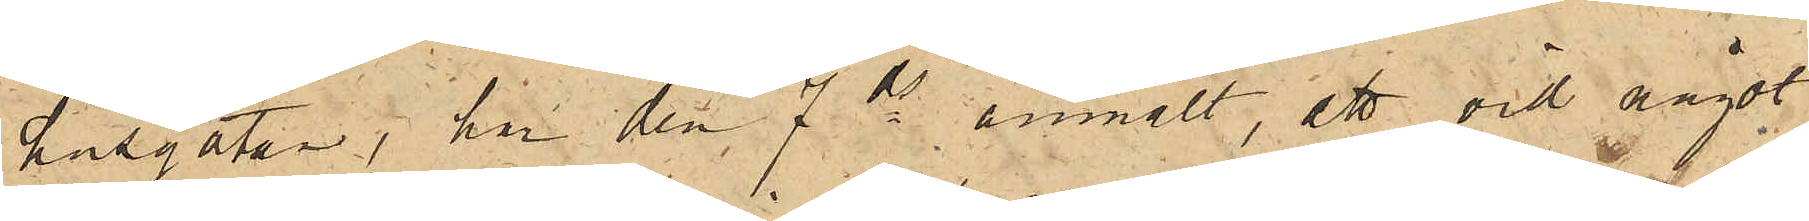husgatan, har den 7 ds anmält, att vid något
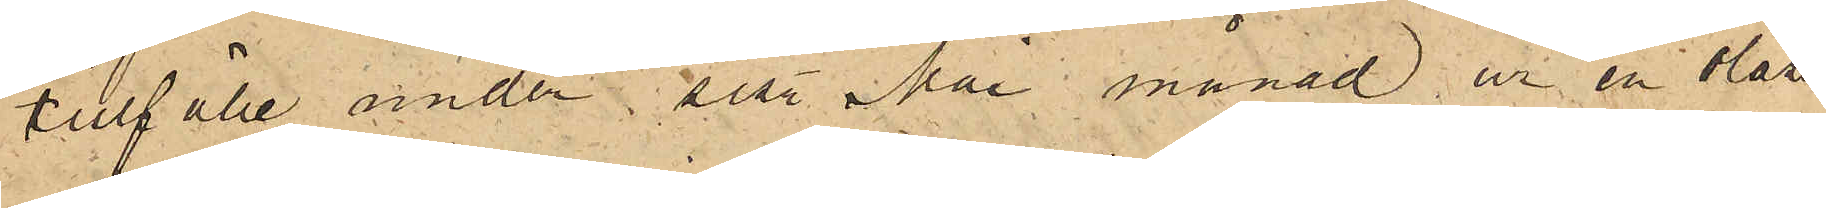tillfälle under sist. Mai månad ur en olåst
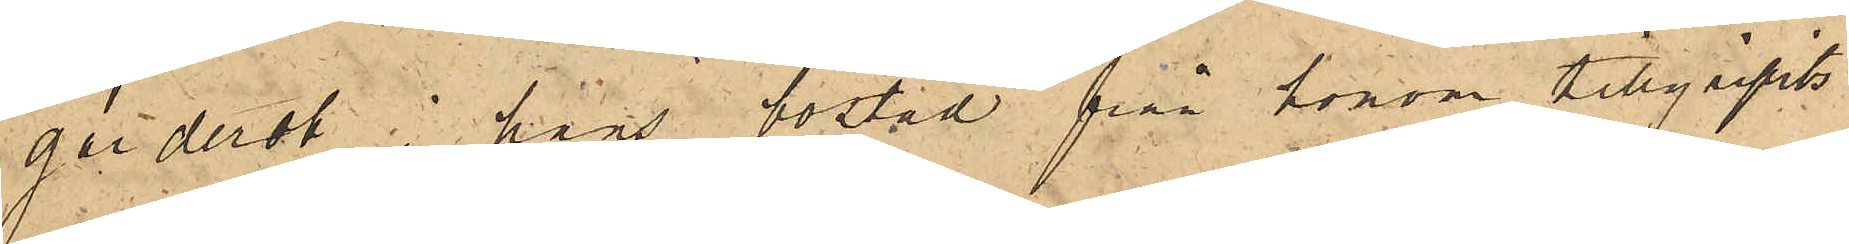garderob i hans bostad från honom tillgripits
